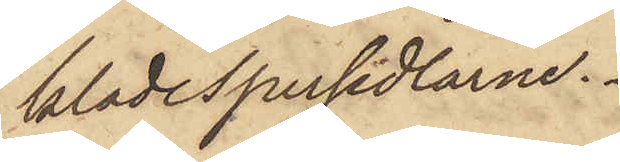klädespersedlarne.
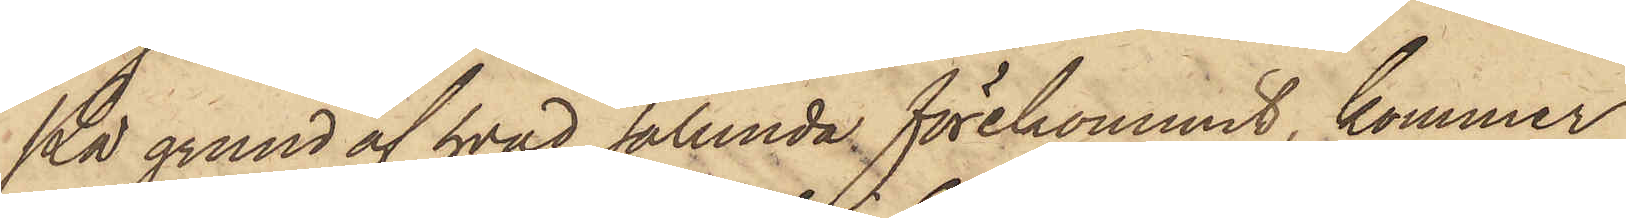På grund af hvad sålunda förekommit, kommer
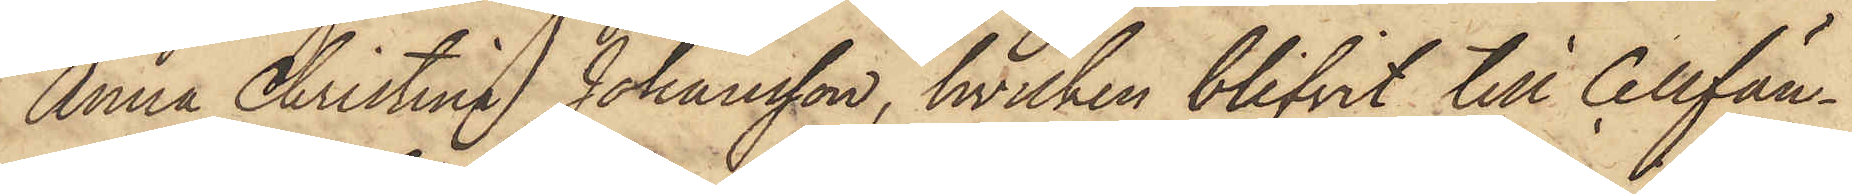Anna Christina Johansson, hvilken blifvit till Cellfän¬
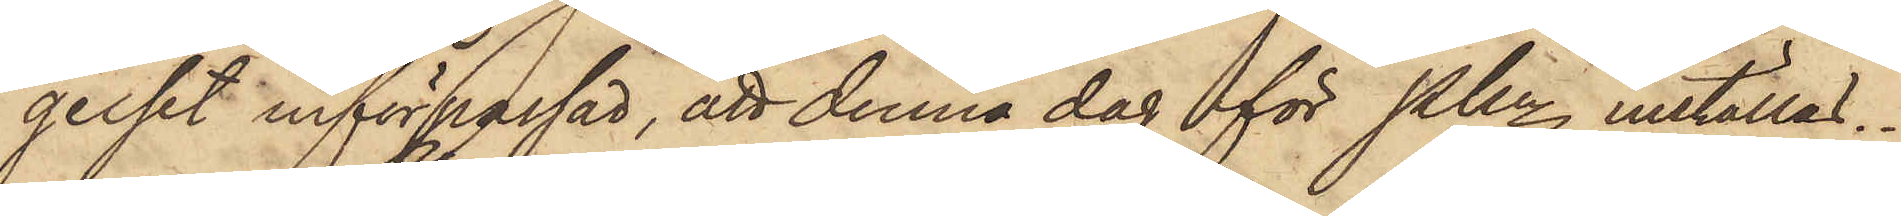gelset införpassad, att denna dag för Pkn inställas.
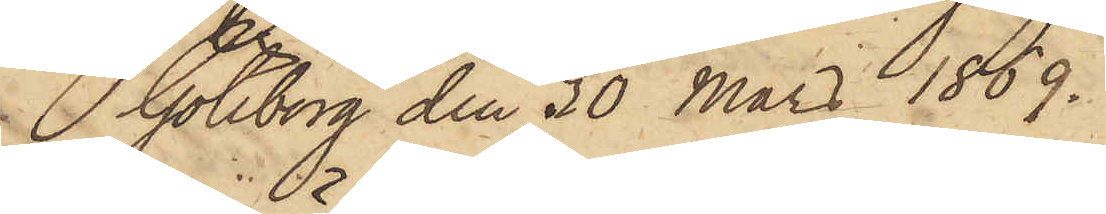Göteborg den 30 Mars 1869.
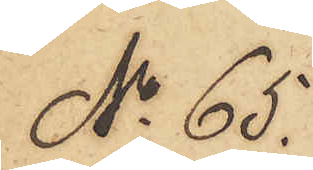No 65.
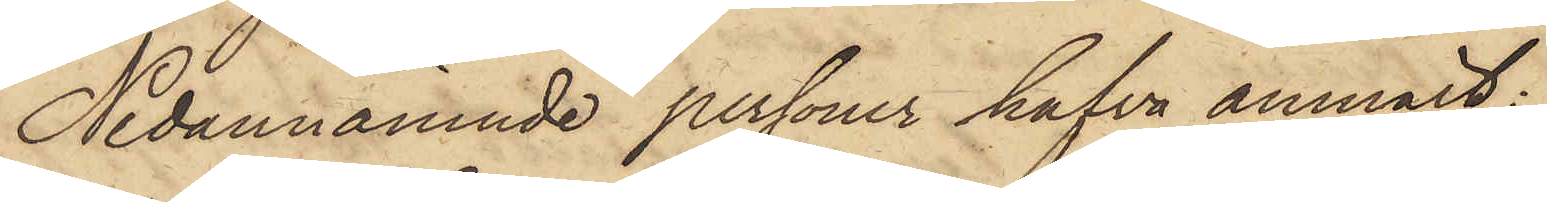Nedannämnde personer hafva anmält:
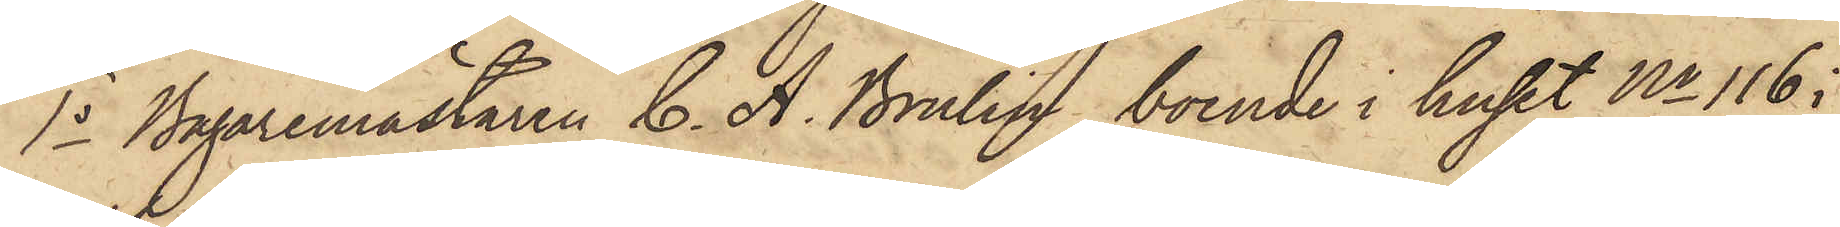1o Bagaremästaren C. A. Brulin, boende i huset No 116 i
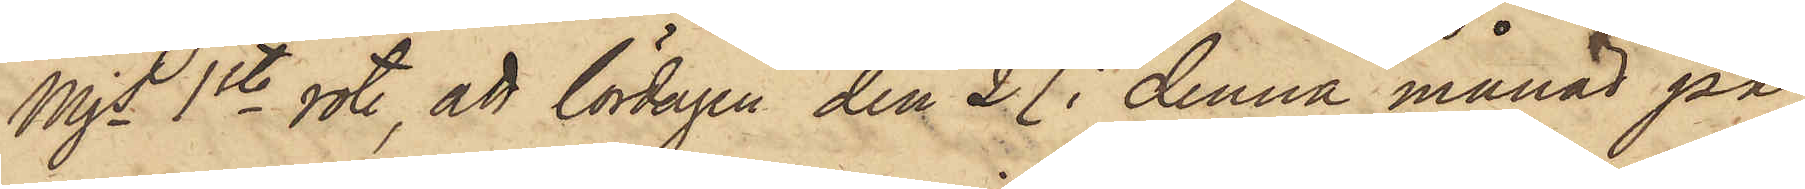Mjs 1ste rote, att lördagen den 27 i denna månad på
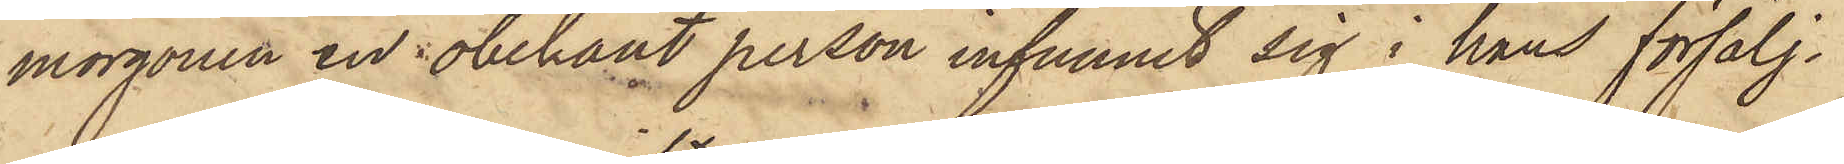morgonen en obekant person infunnit sig i hans försälj¬
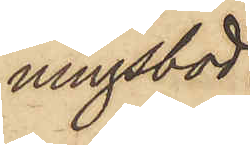ningsbod
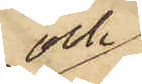och
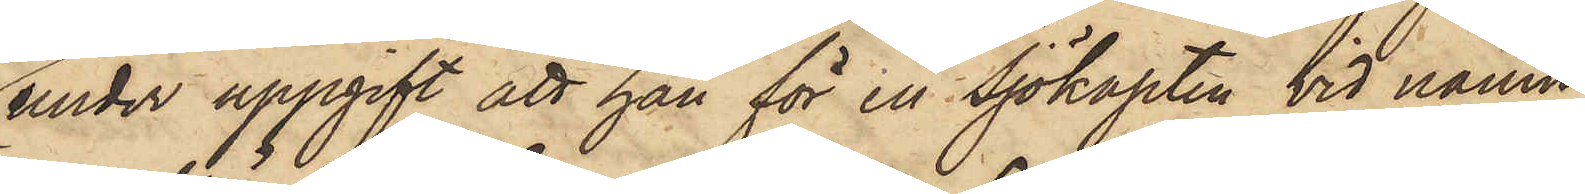under uppgift att han för en Sjökapten vid namn
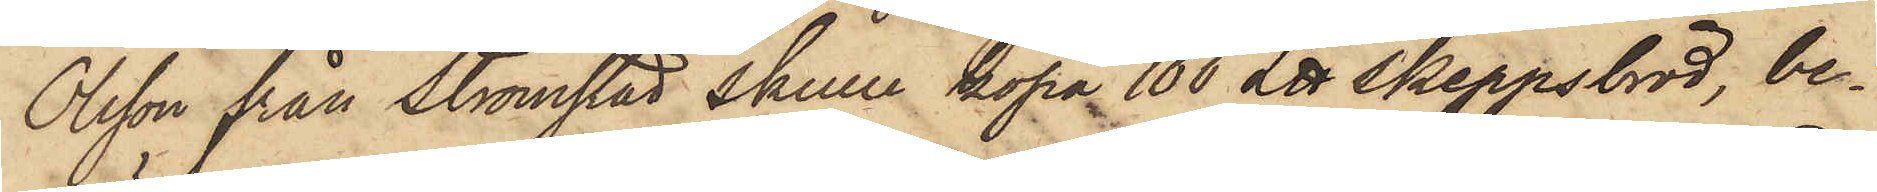Olsson från Strömstad skulle köpa 100 L℔ Skeppsbröd, be¬
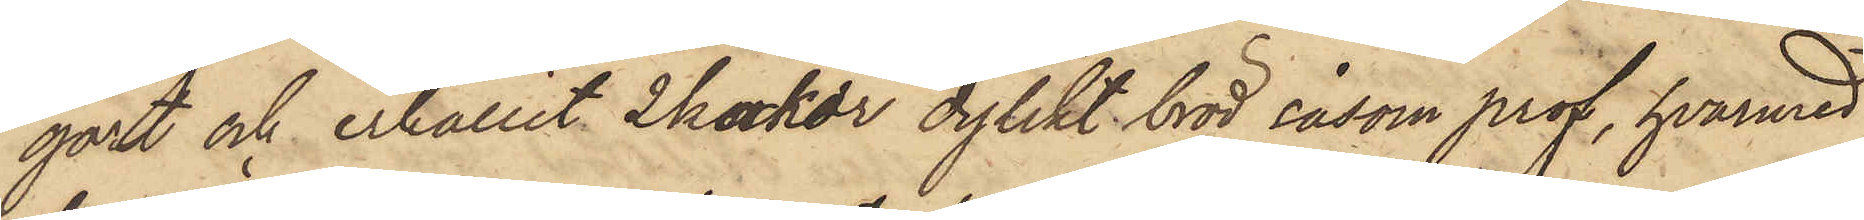gärt och erhållit 2 kakor dylikt bröd såsom prof, hvarmed
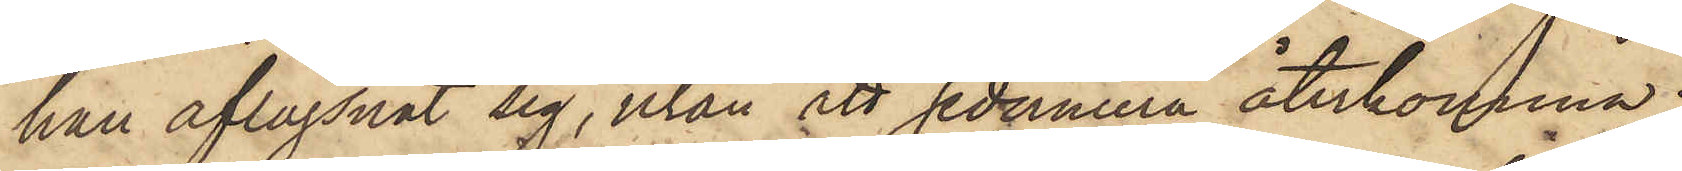han aflägsnat sig, utan ett sedermera återkomma;
